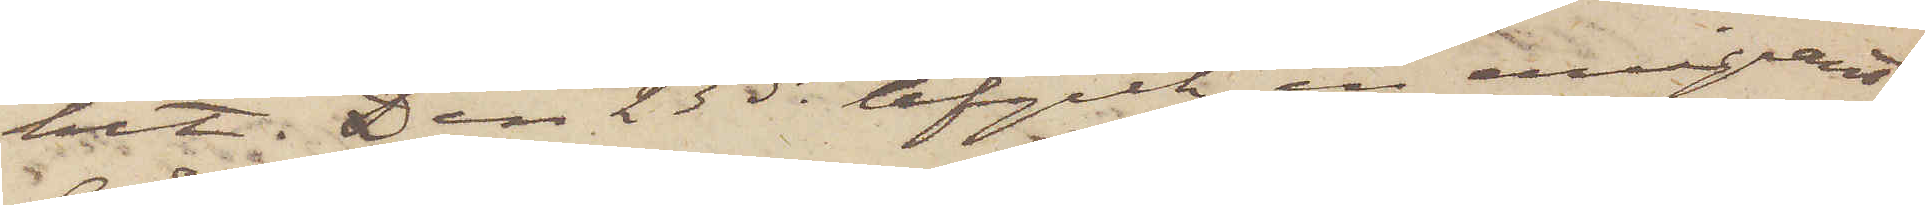hit. Den 23 ds afgick en emigrant¬
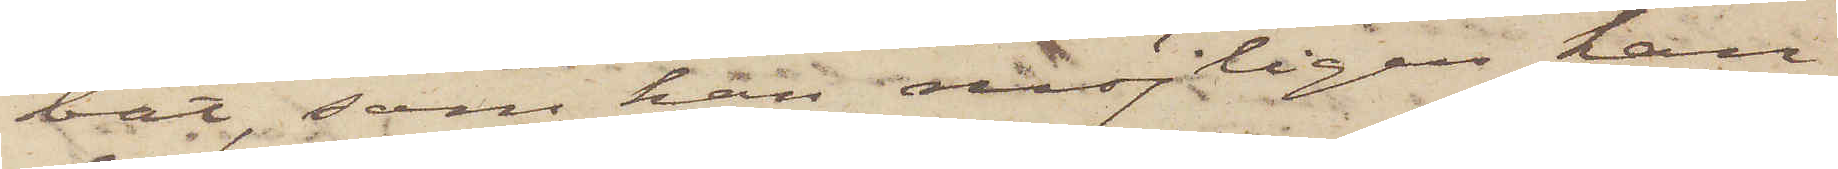båt, som han möjligen kan
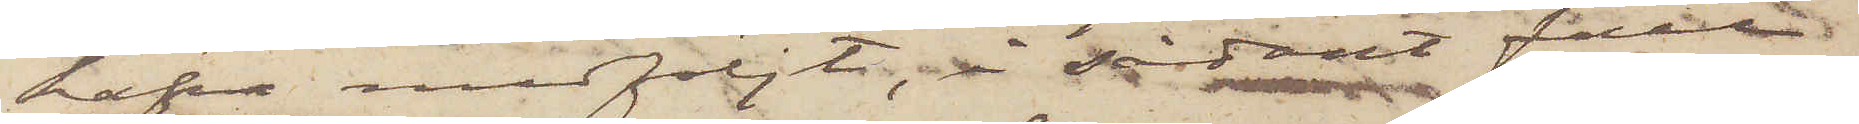hafva medföljt, i sådant fall
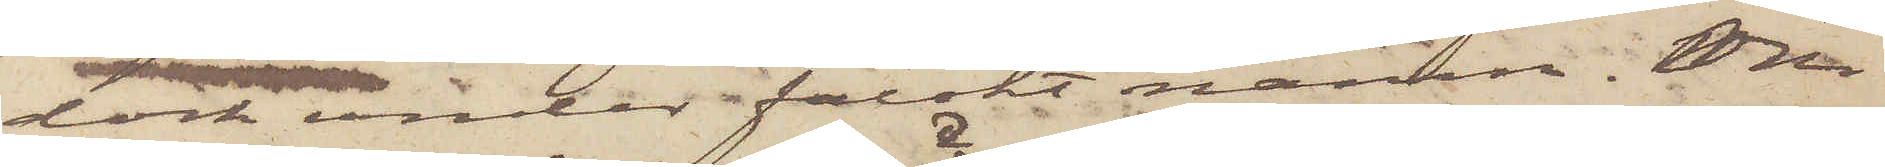dock under falskt namn. Om
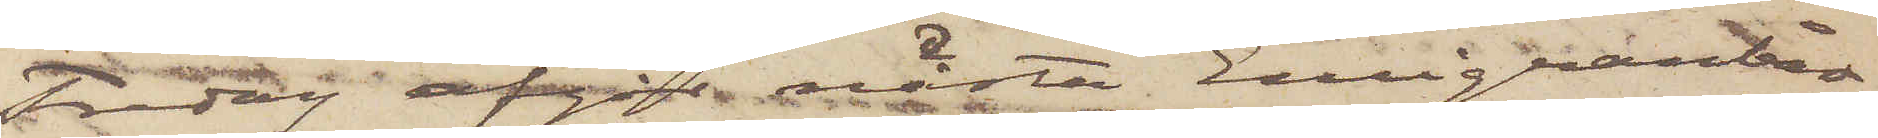Fredag afgår nästa Emigranbåt.
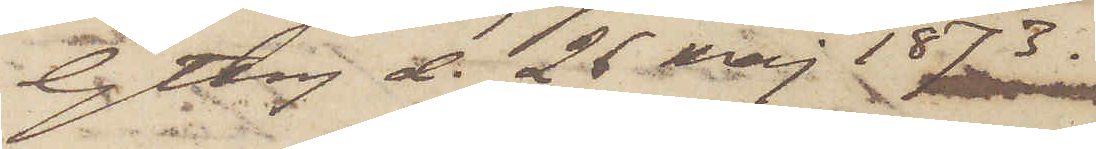Gtbrg d. 26 Maj 1873.
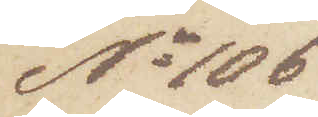No 106
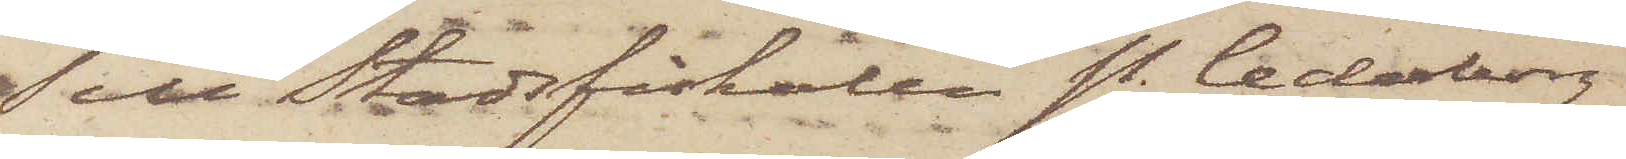Till Stadsfiskalen P. Cederborg
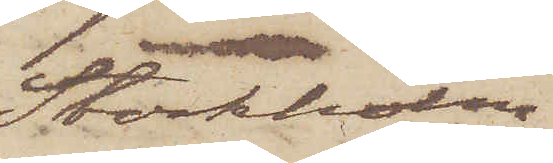Stockholm
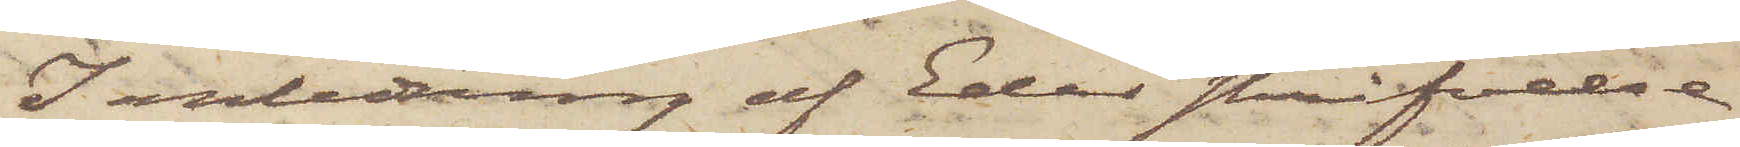I anledning af Eder skrifvelse
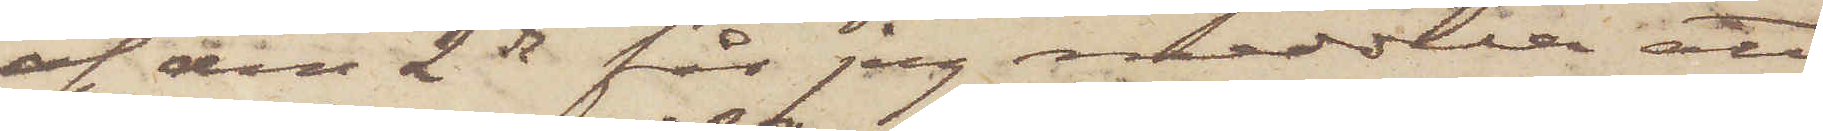af den 2 ds får jag meddela att
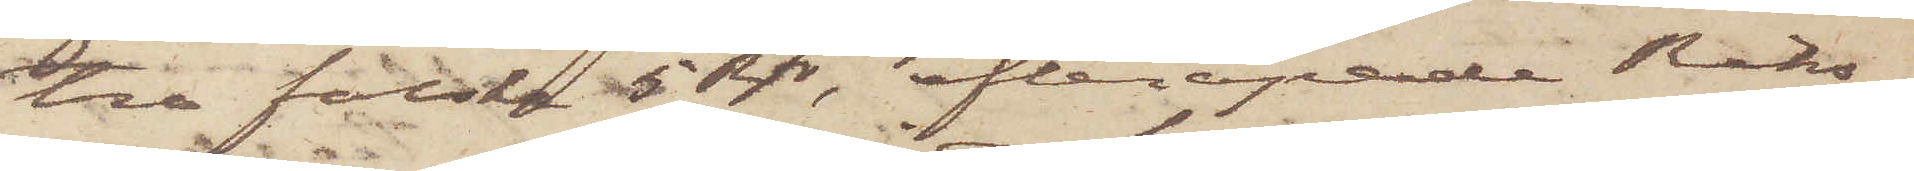tre falska 5 Rdr, efterapande Riks¬
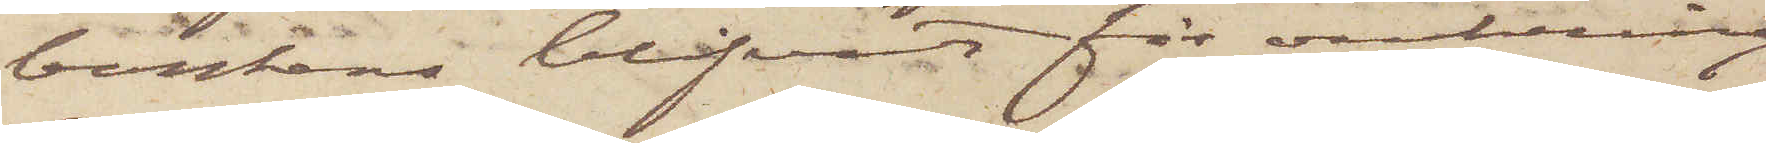bankens blifvit för omkring
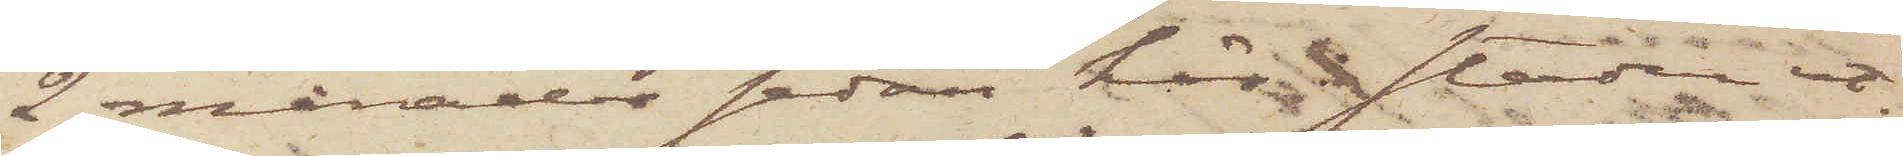2 månader sedan här i staden ut¬
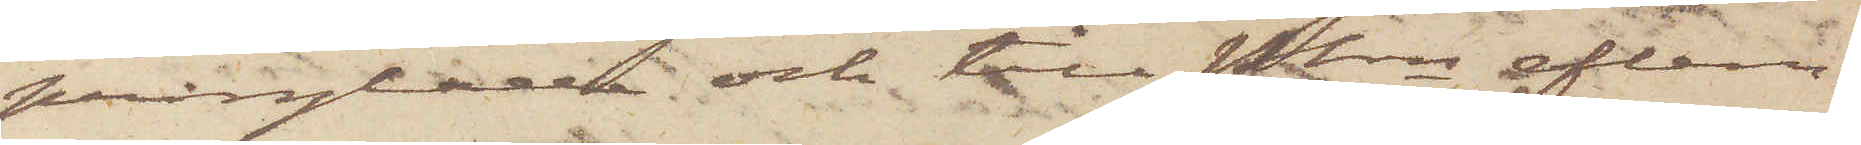prånglade och till Pkn aflem¬
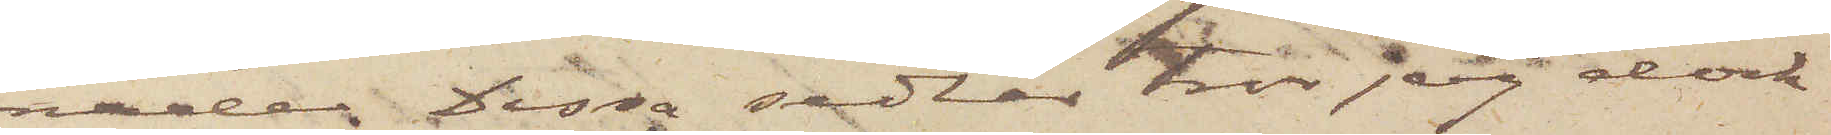nade. Dessa sedlar tror jag dock
